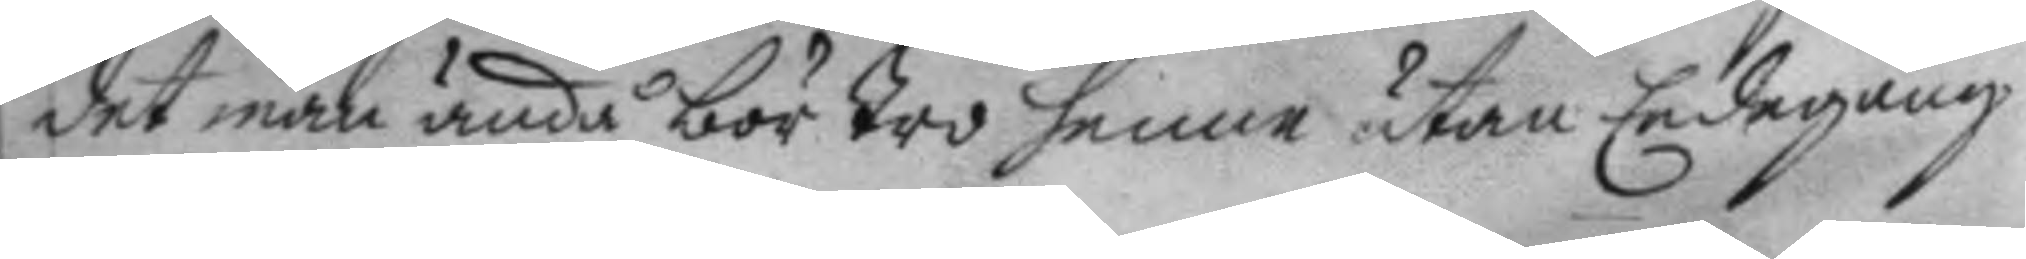det man ändå bör tro henne utan Eedegång
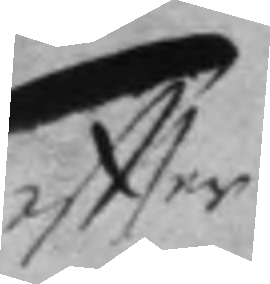eftter
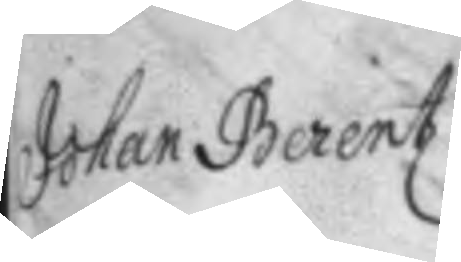Johan Berents
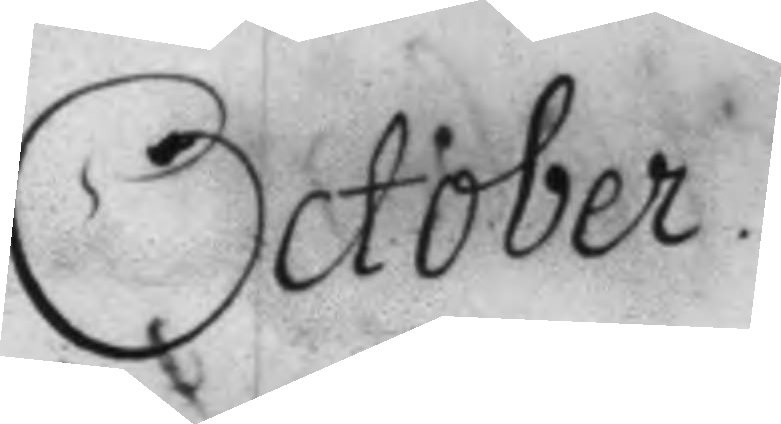October
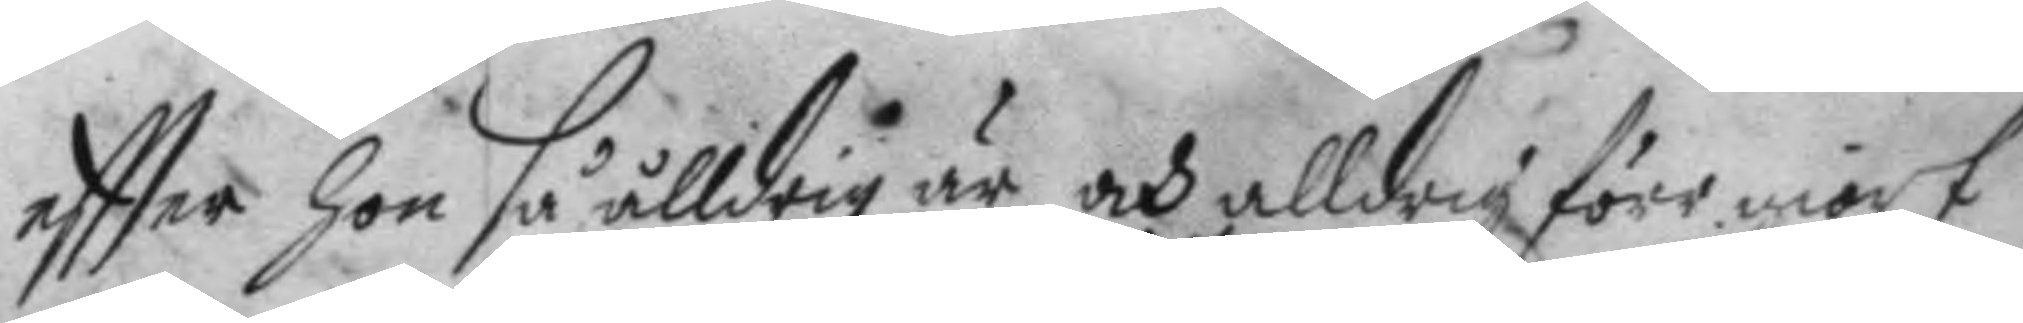eftter hon så alldrig är och alldrig förr giort
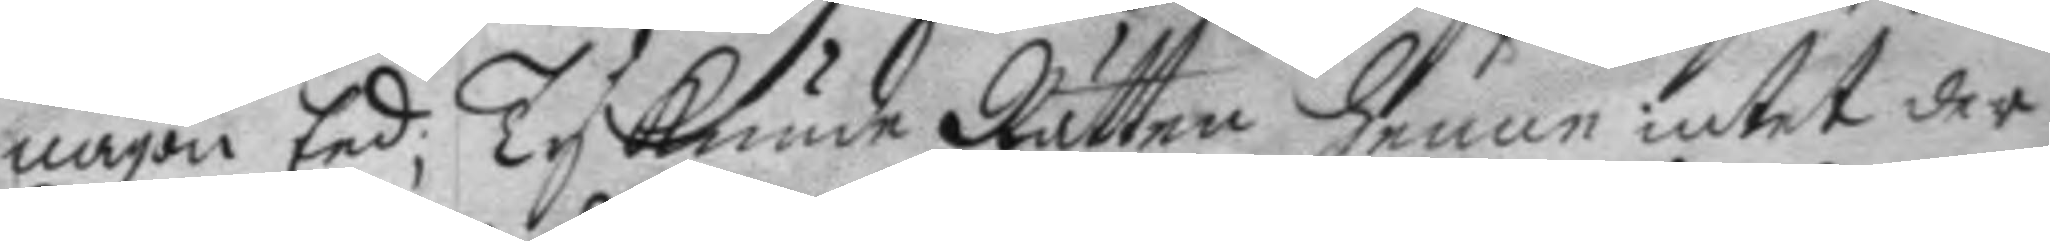någon Eed; Ty kunde Rätten henne intet der
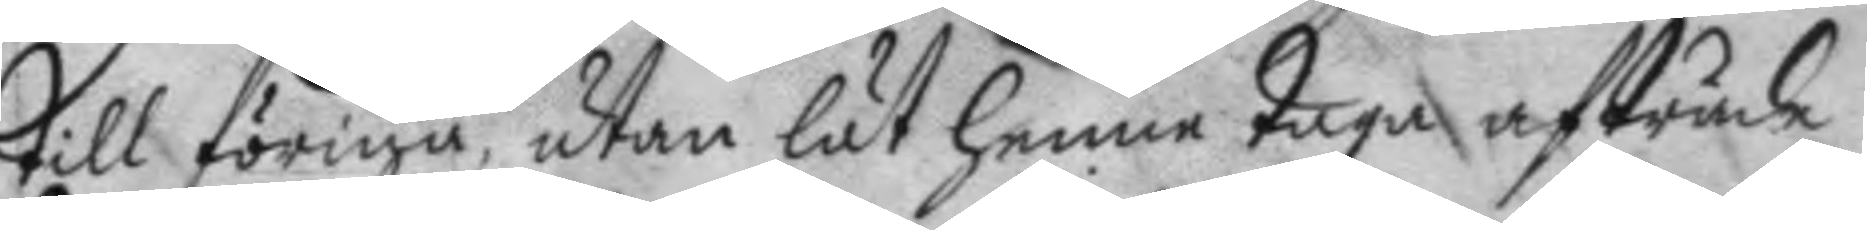till förigå, utan lät henne taga afträde.
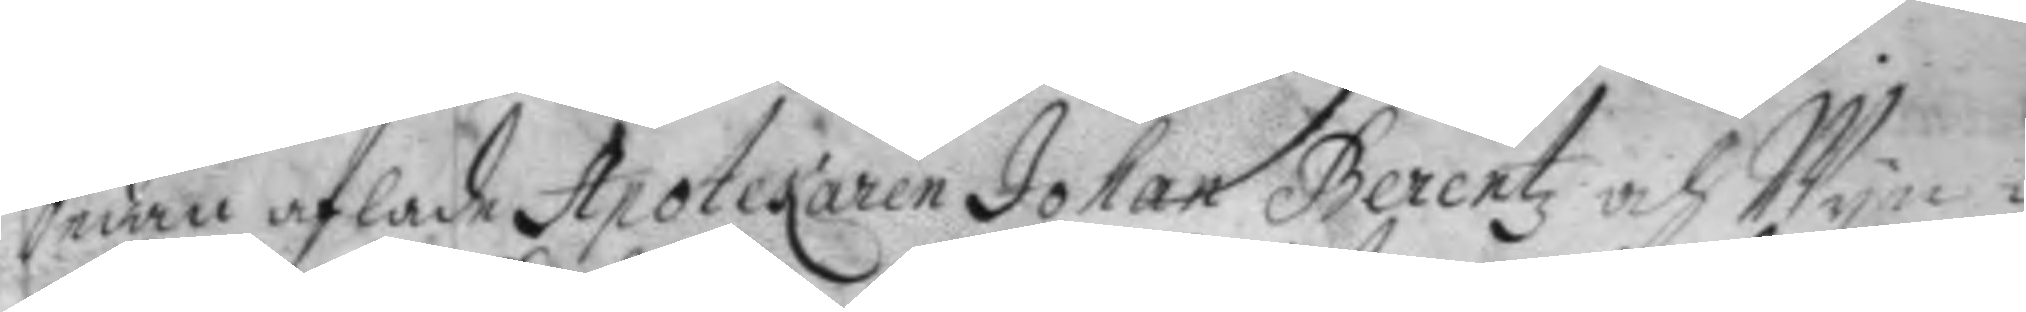Sedan aflade Apotekaren Johan Berentz och Wyn¬
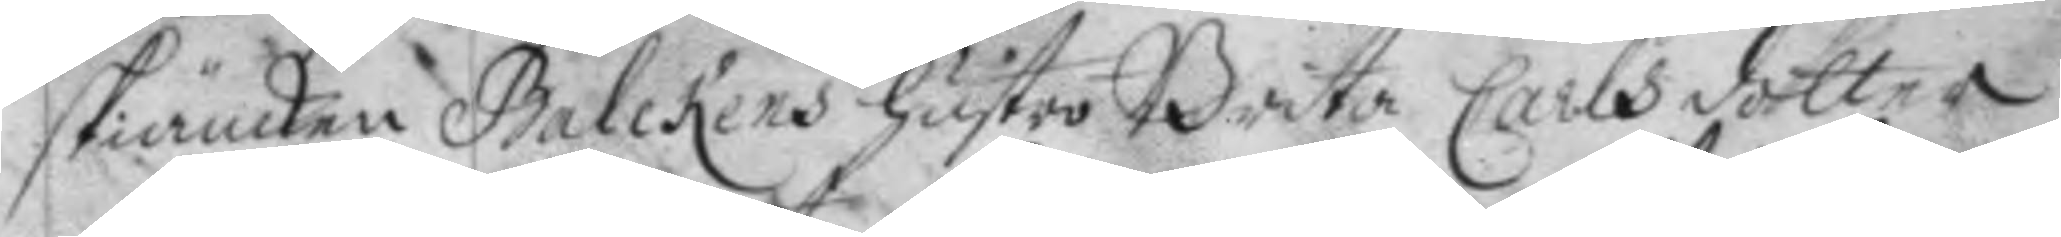skiänken Balckens hustro Brita Carlsdotter
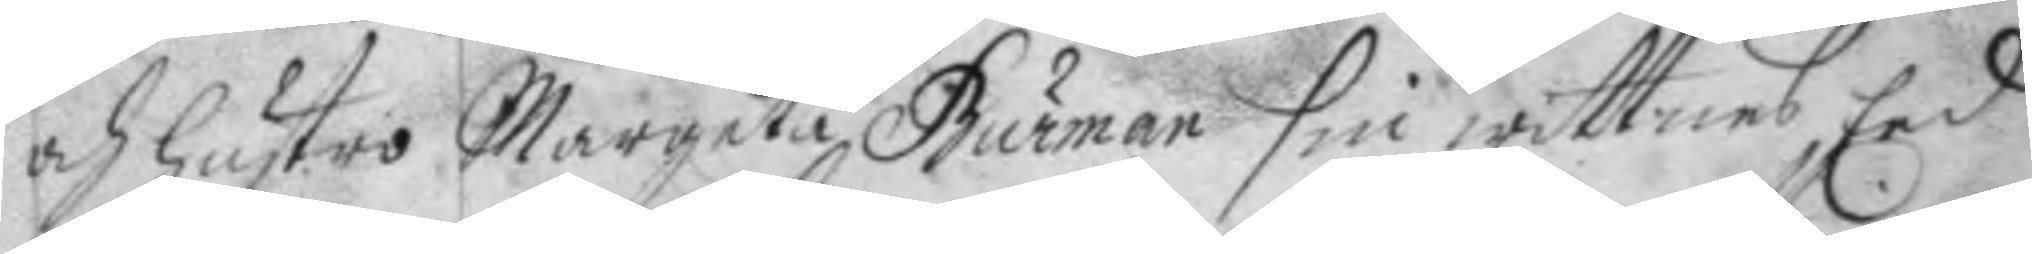och hustro Margeta Burman sin wittnes Eed
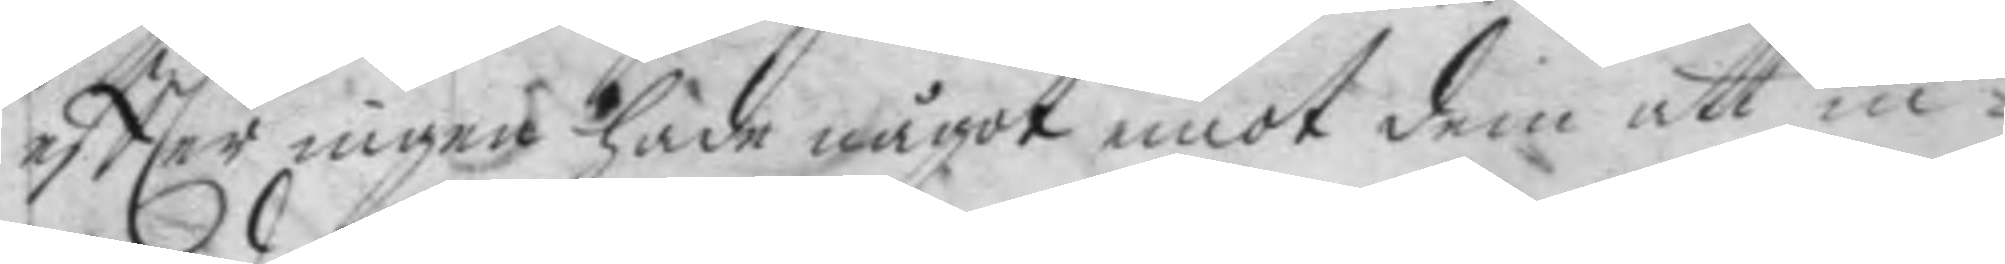eftter ingen hade något emot dem att in¬
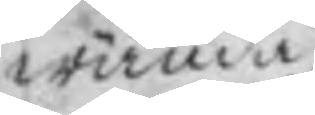wända.
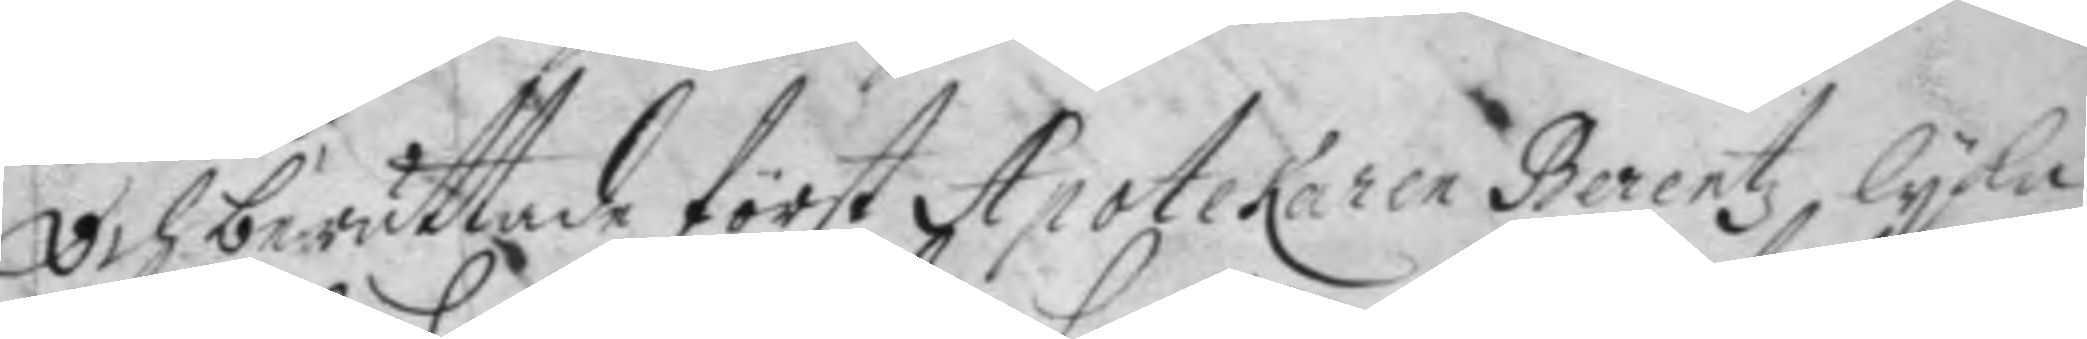Och berättade först Apotekaren Berentz, lyka
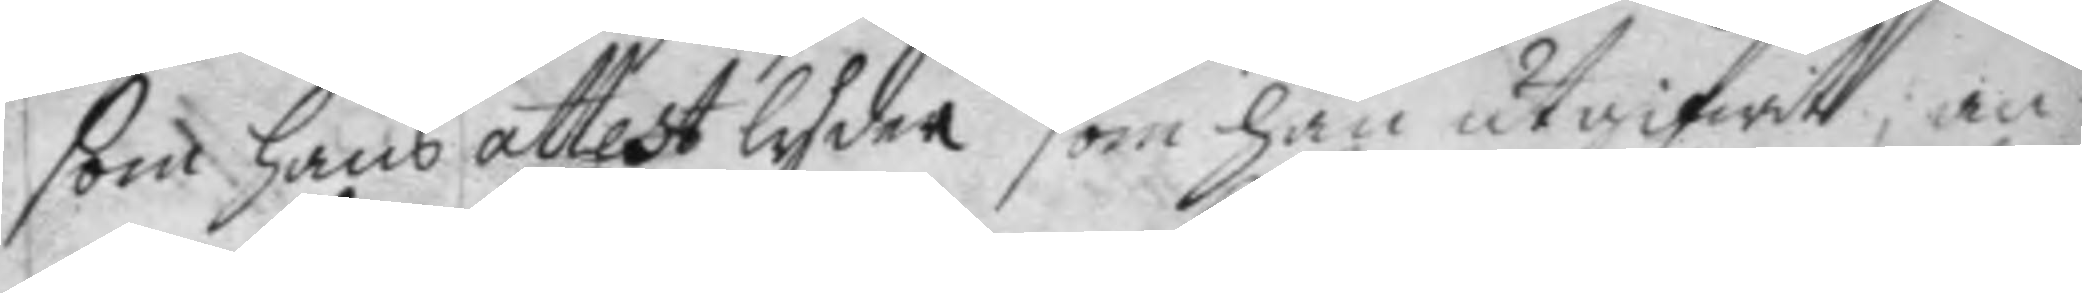som hans attest lyder som han utgifwitt; an¬
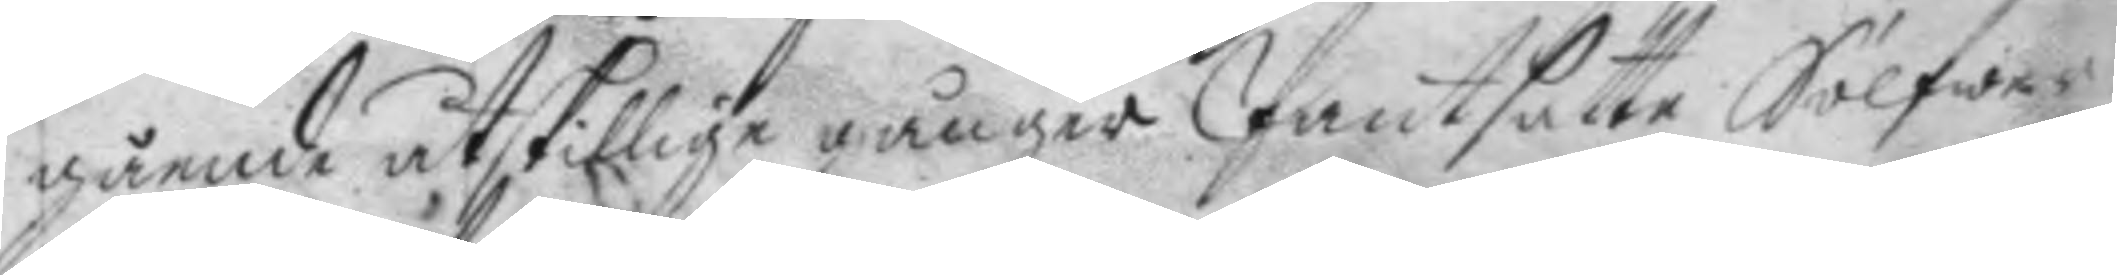gående åtskillige gånger Pantsatte Sölfwer¬
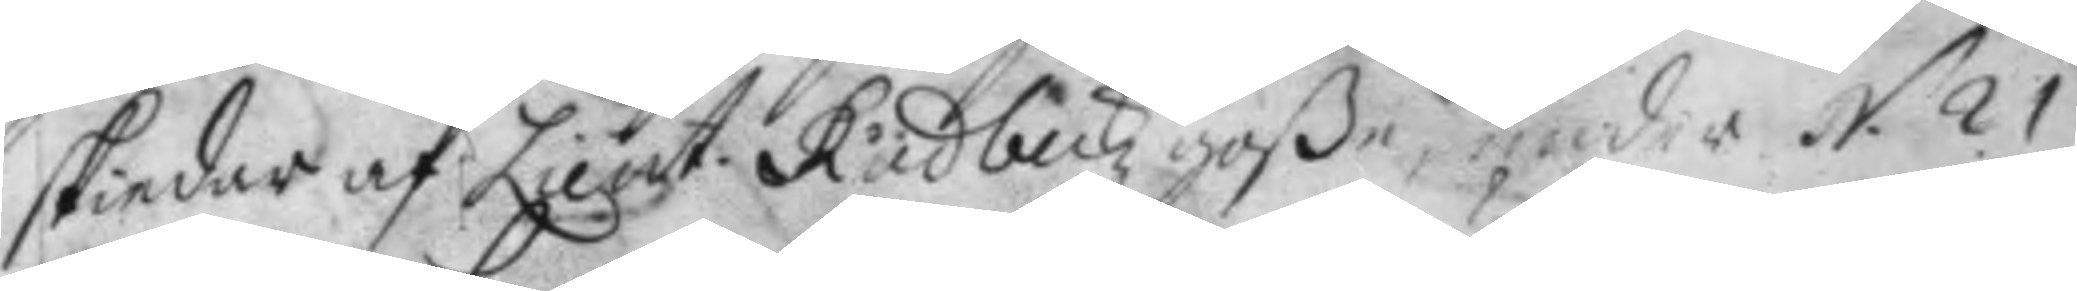skiedar af Lieut. Rudbeckz goße, under N. 21
